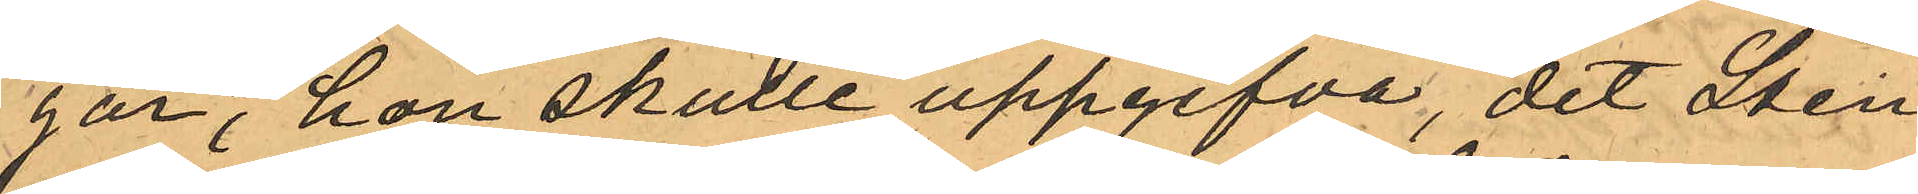gar, hon skulle uppgifva, det Sten¬
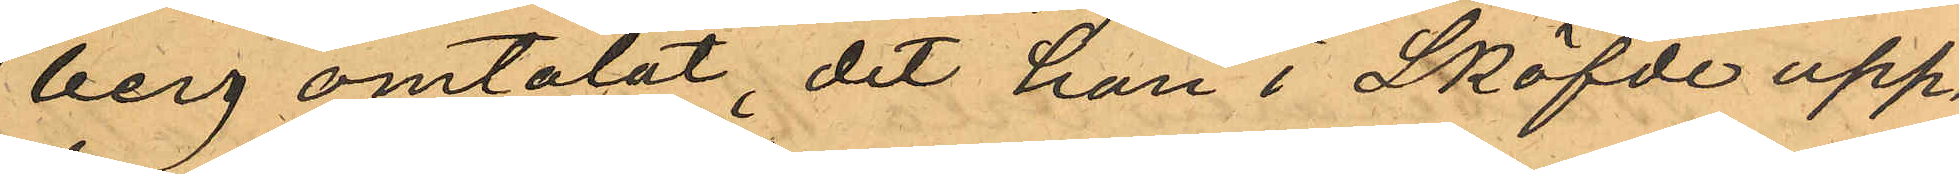berg omtalat, det han i Sköfde upp¬
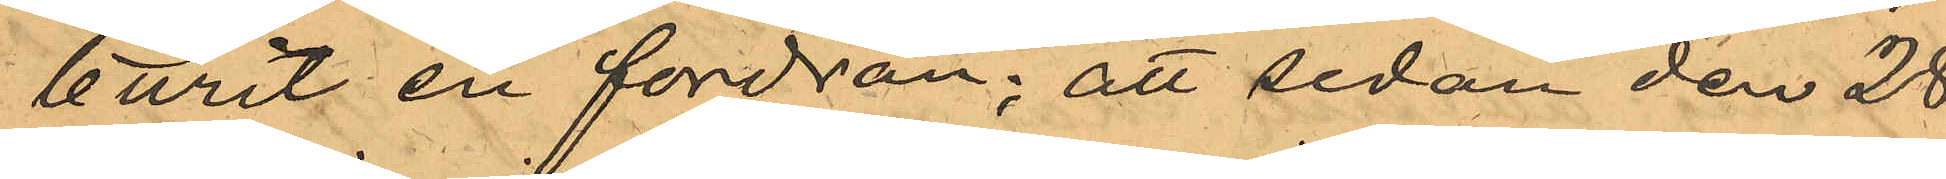burit en fordran; att sedan den 28
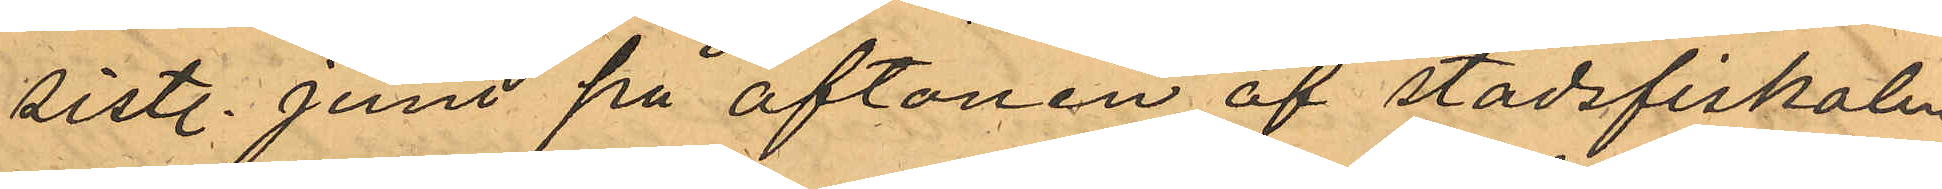sistl. Juni på aftonen af stadsfiskalen
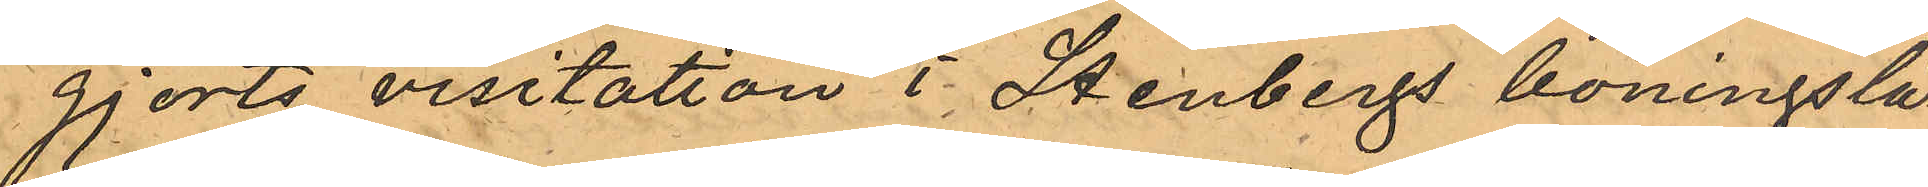gjorts visitation i Stenbergs boningslä¬
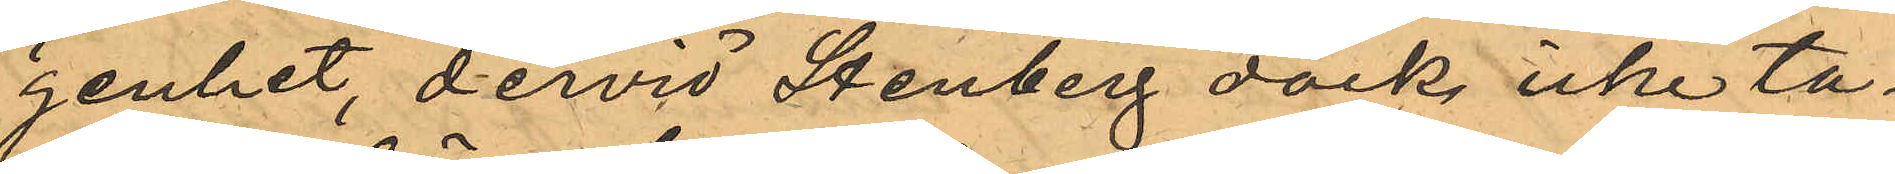genhet, dervid Stenberg dock icke ta¬
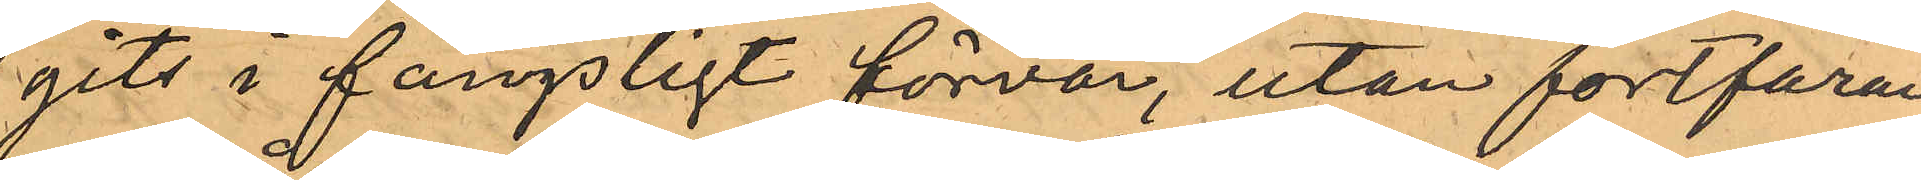gits i fängsligt förvar, utan fortfaran¬
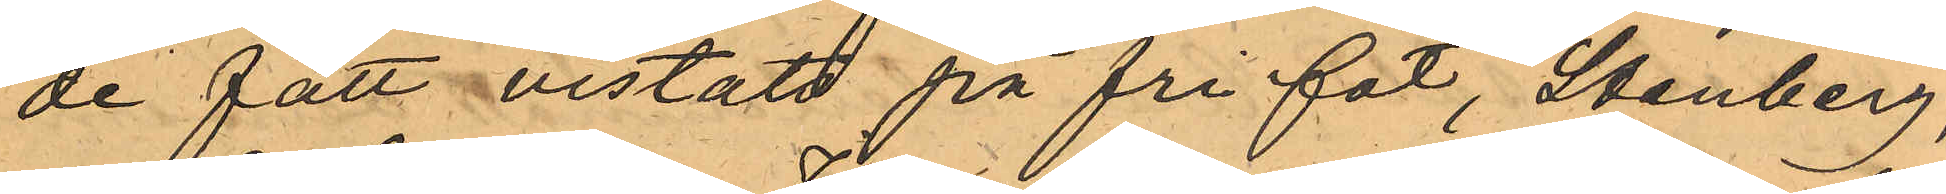de fått vistats på fri fot, Stenberg,
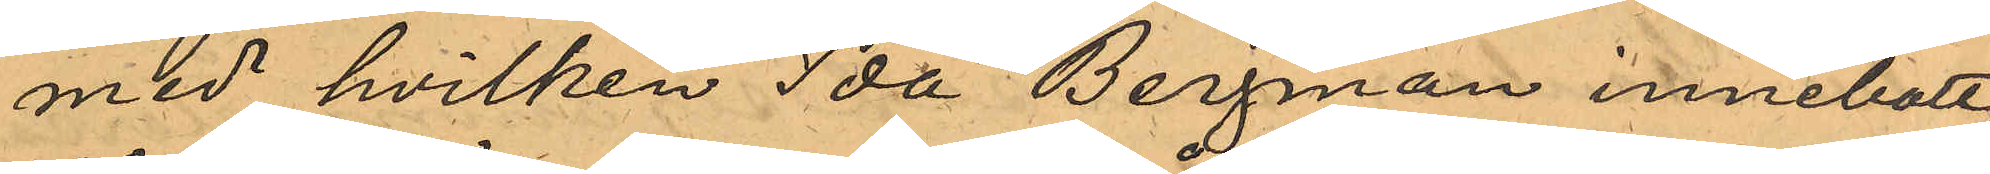med hvilken Ida Bergman innebott,
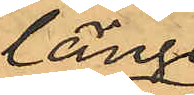länge
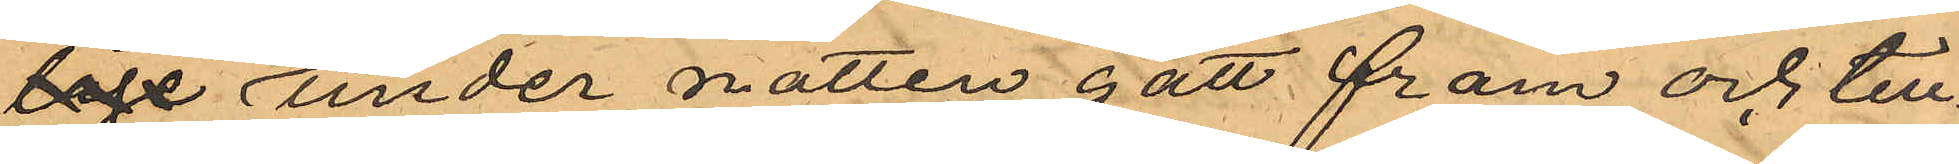låge länge under natten gått fram och till¬
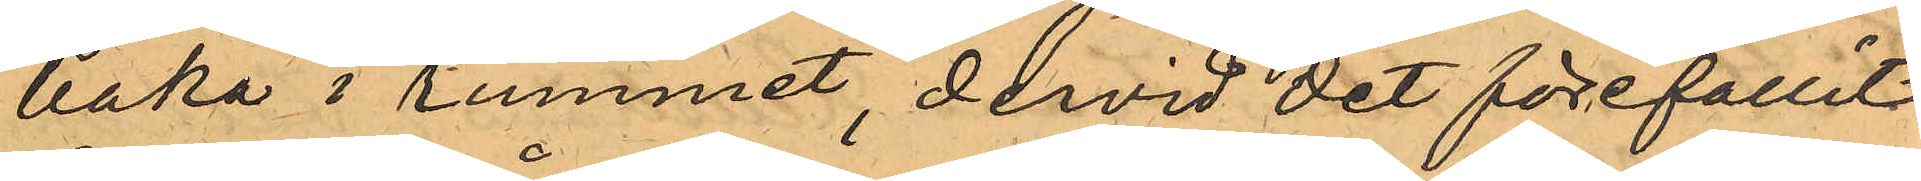baka i rummet, dervid det förefallit
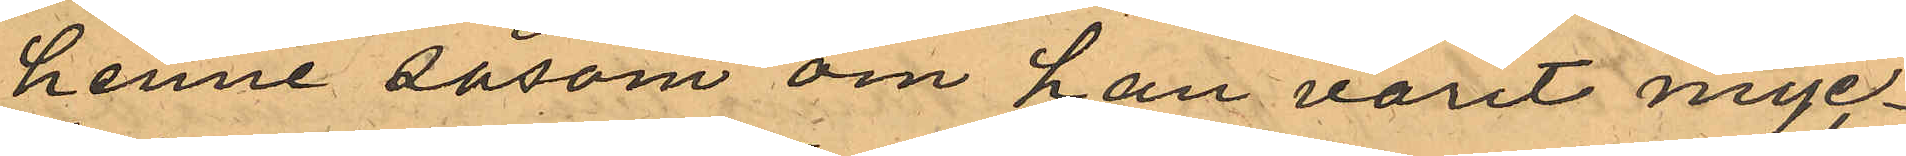henne såsom om han varit myc¬
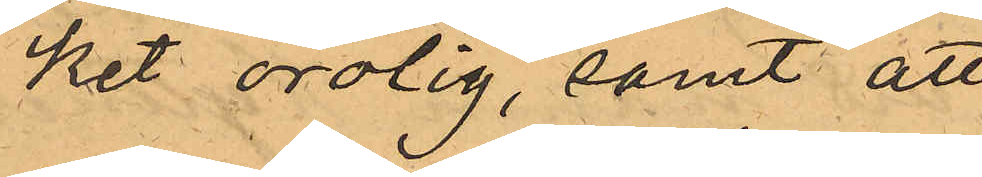ket orolig, samt att
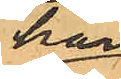han
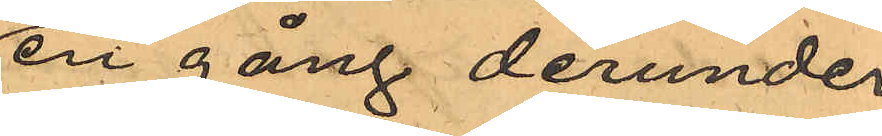en gång derunder
